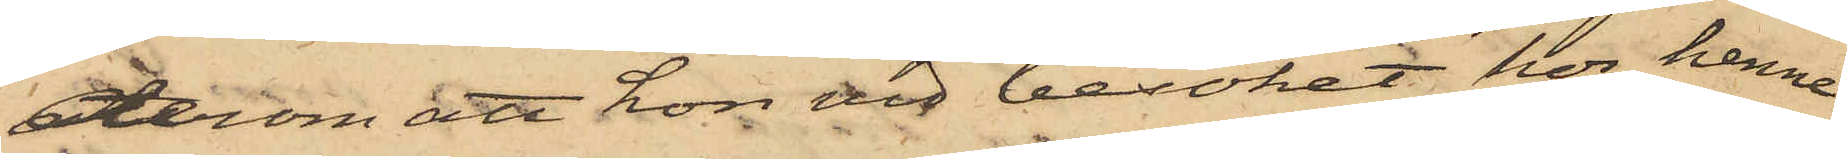derom att hon vid besöket hos henne
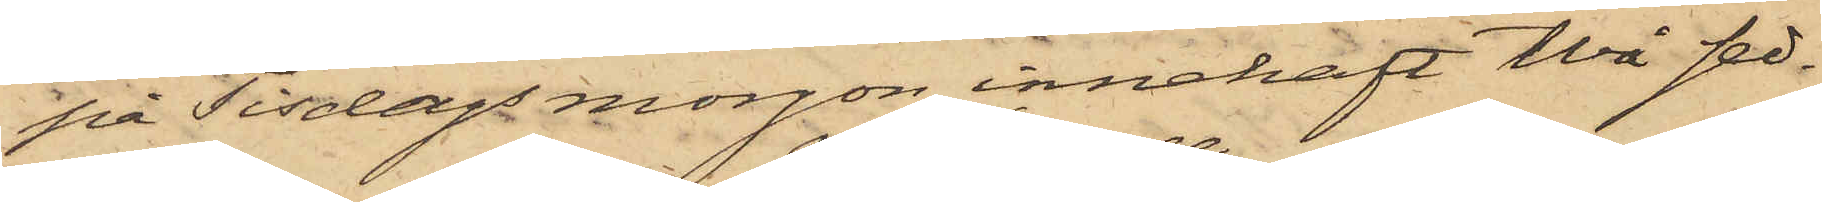på Tisdags morgon innehaft två sed¬
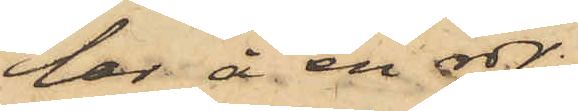lar å en rdr,
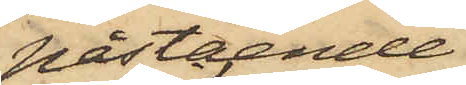påstående
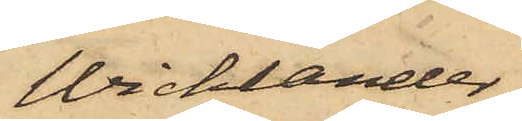Wicklander,
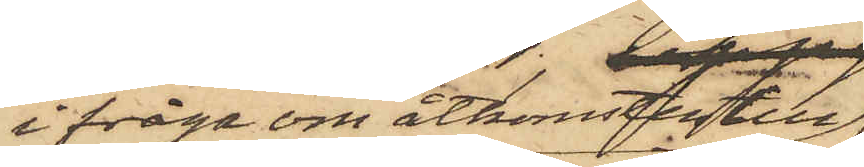ifråga om åtkomsten till
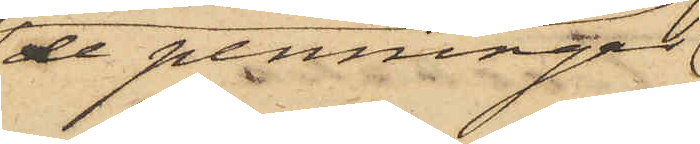de penningar
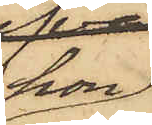hon
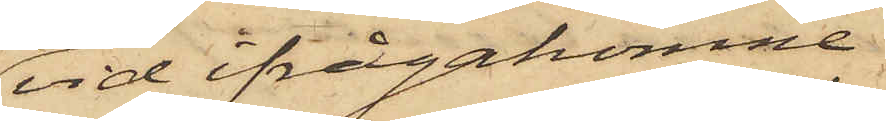vid ifrågakomne
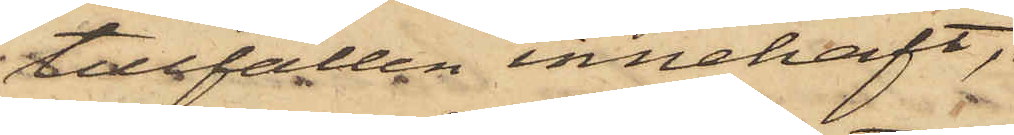tillfällen innehaft,
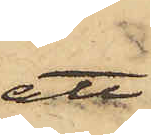att
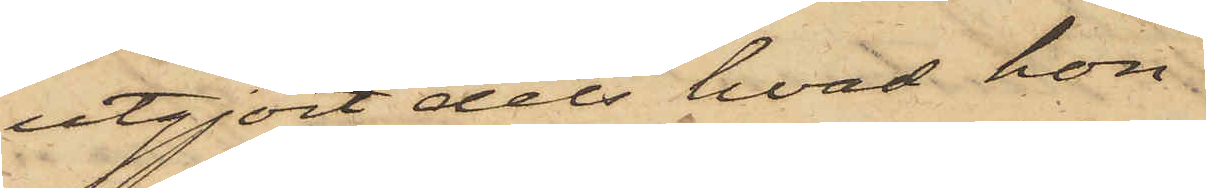utgjort dels hvad hon
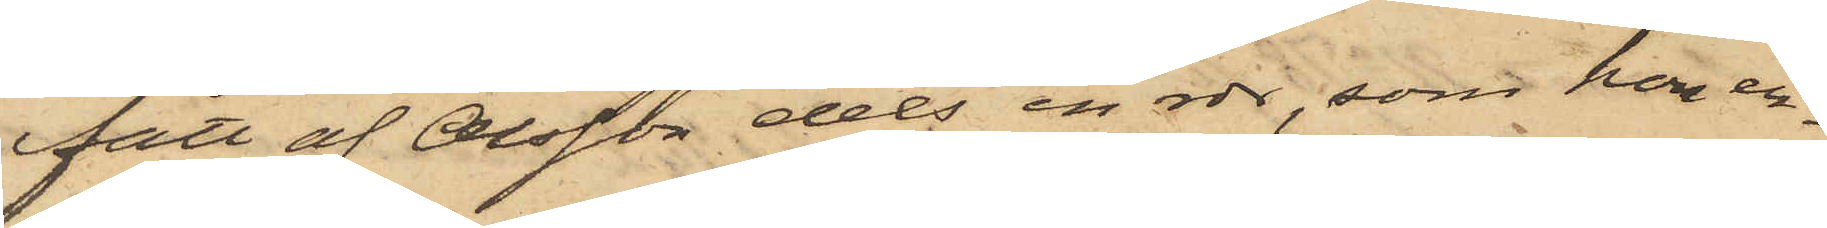fått af Olsson dels en rdr, som hon er¬
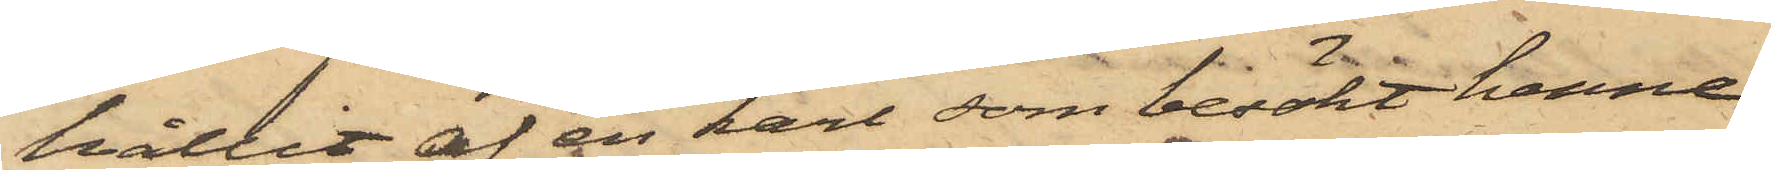hållit af en karl, som besökt henne
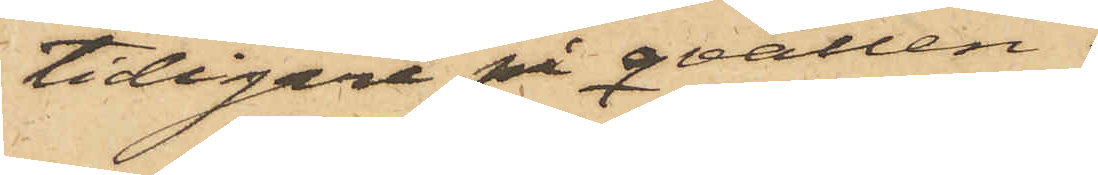tidigare på qvällen.
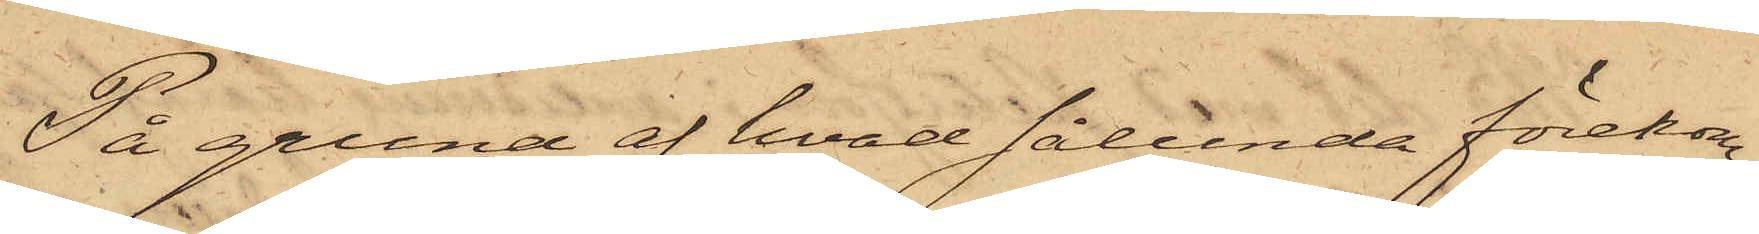På grund af hvad sålunda förekom¬
